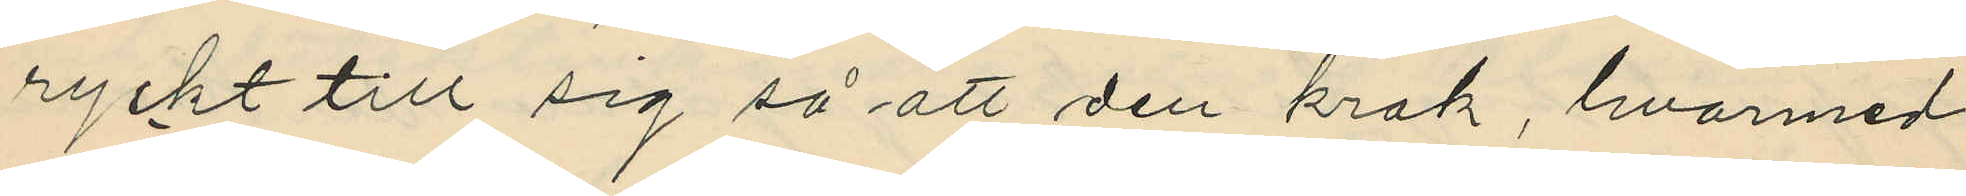ryckt till sig så att den krok, hvarmed
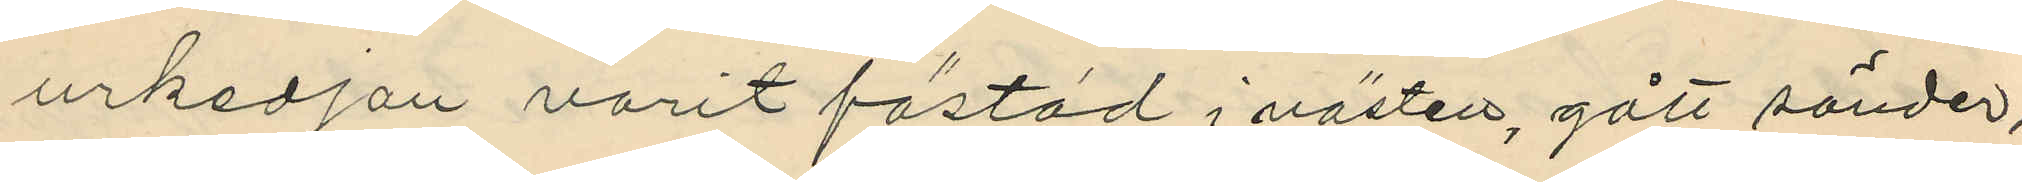urkedjan varit fästad i västen, gått sönder;
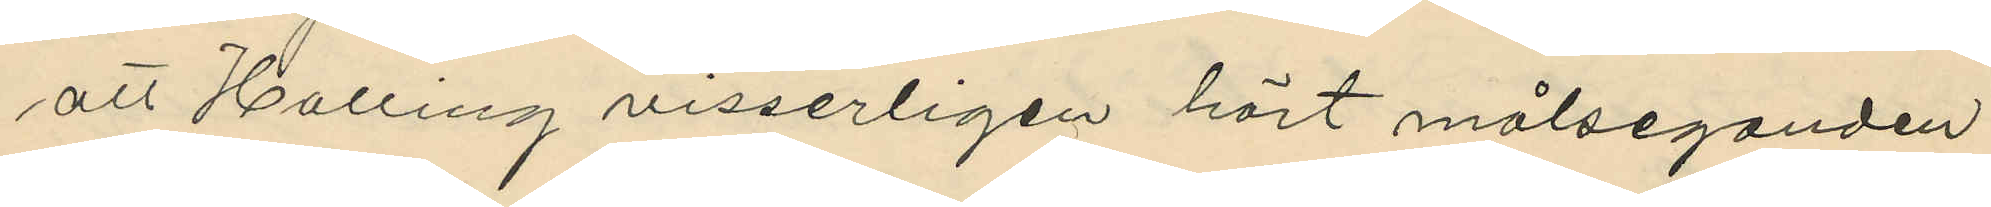att Halling visserligen hört målseganden
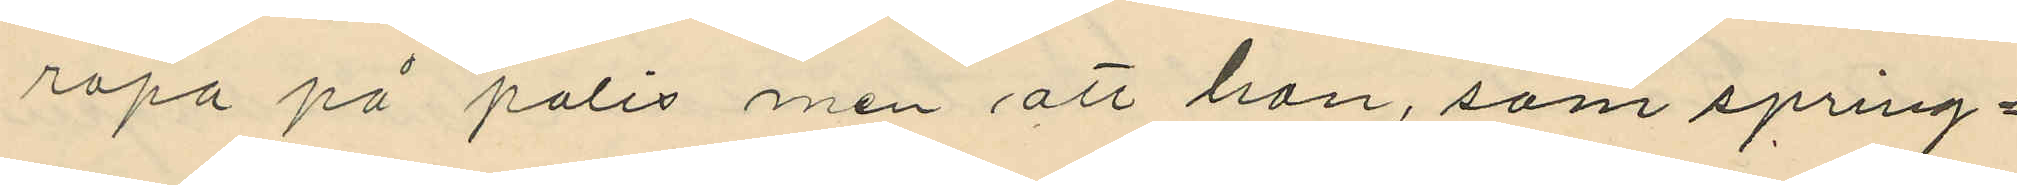ropa på polis men att han, som spring¬
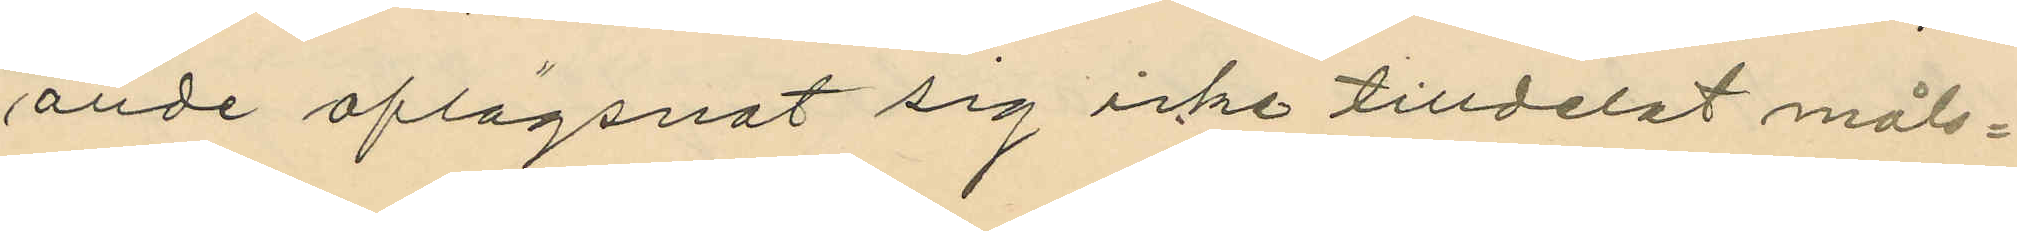ande aflägsnat sig icke tilldelat måls¬
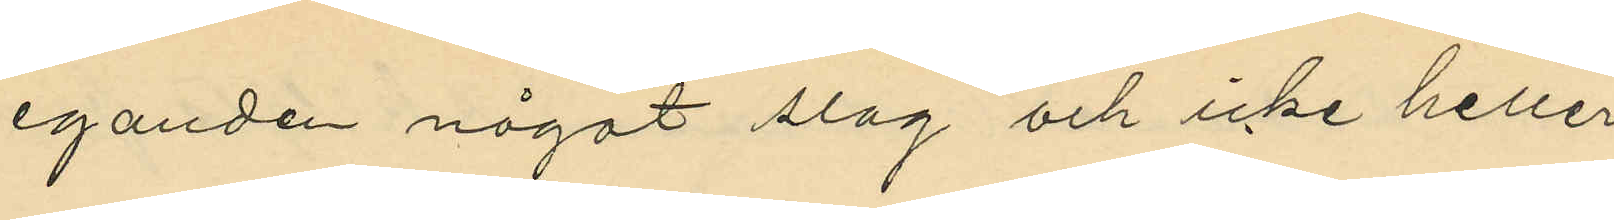eganden något slag och icke heller
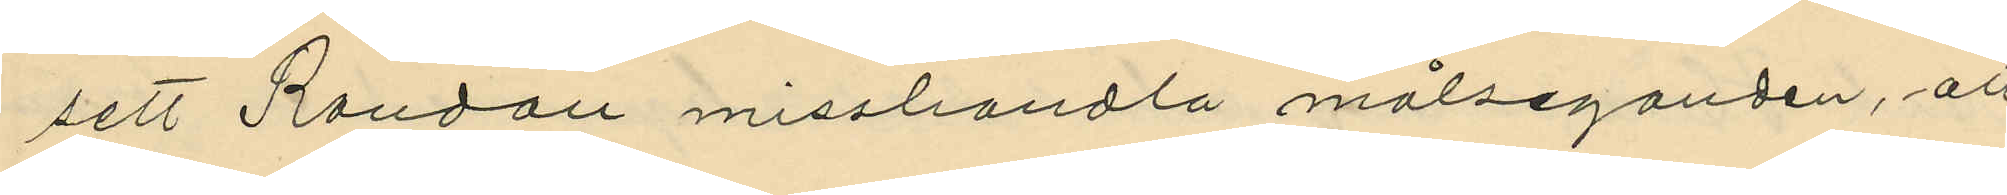sett Randau misshandla målseganden, att
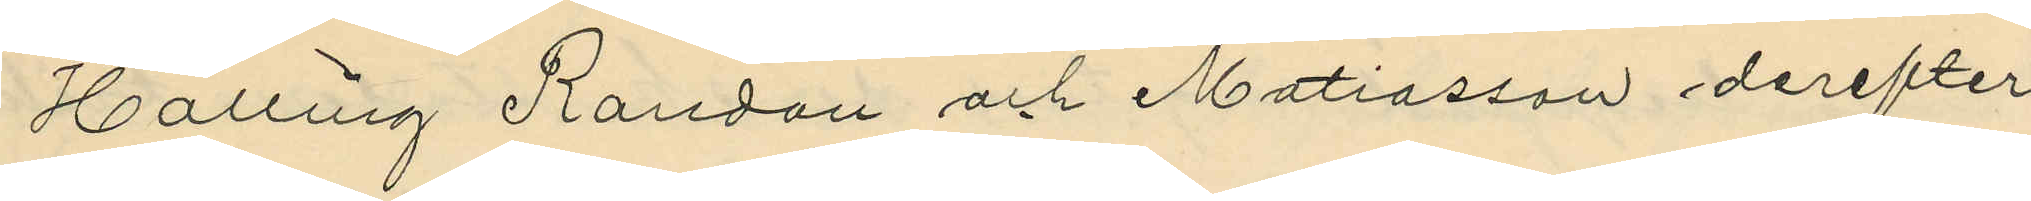Halling Randau och Matiasson derefter
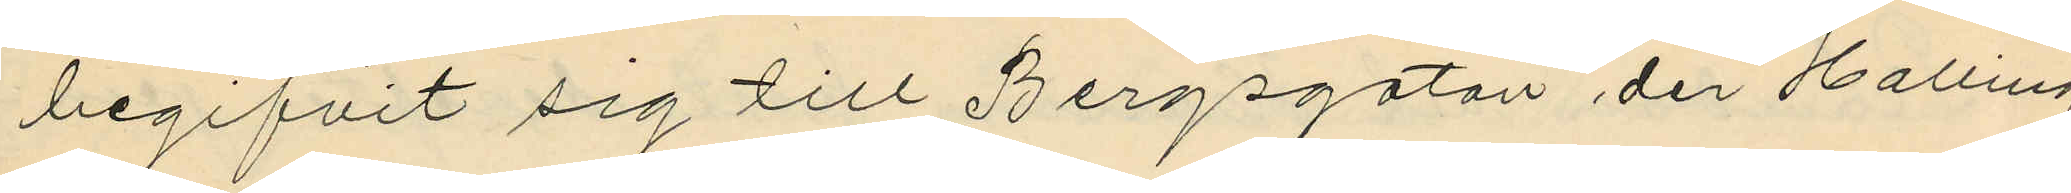begifvit sig till Bergsgatan der Halling
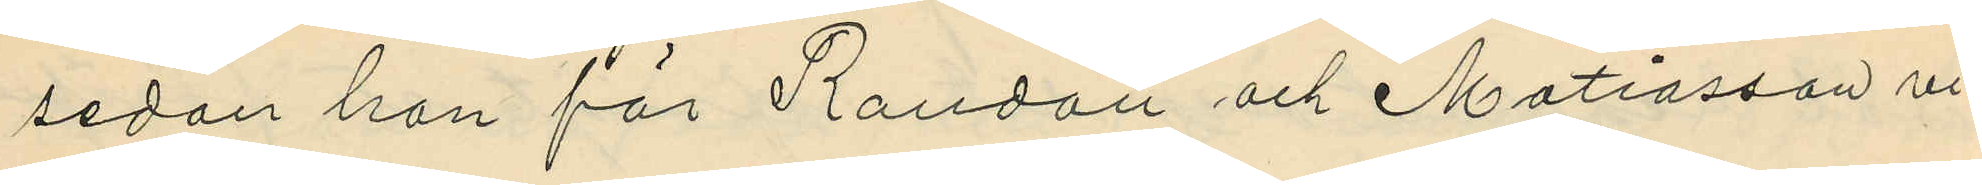sedan han för Randau och Matiasson vi¬
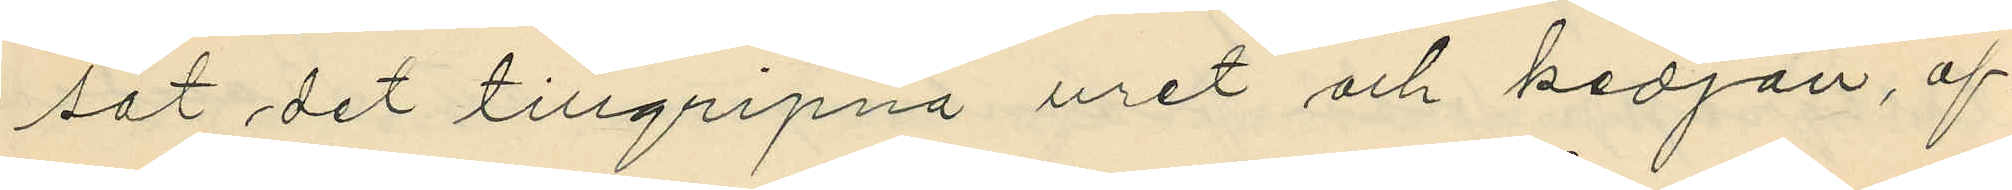sat det tillgripna uret och kedjan, af¬
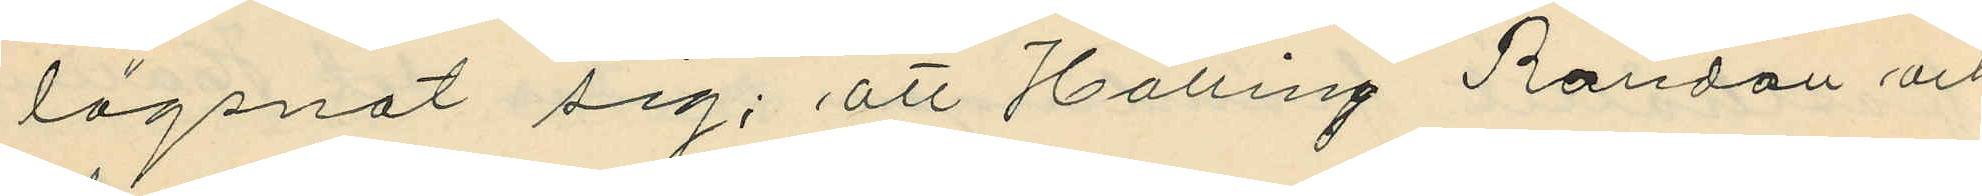lägsnat sig; att Halling Randau och
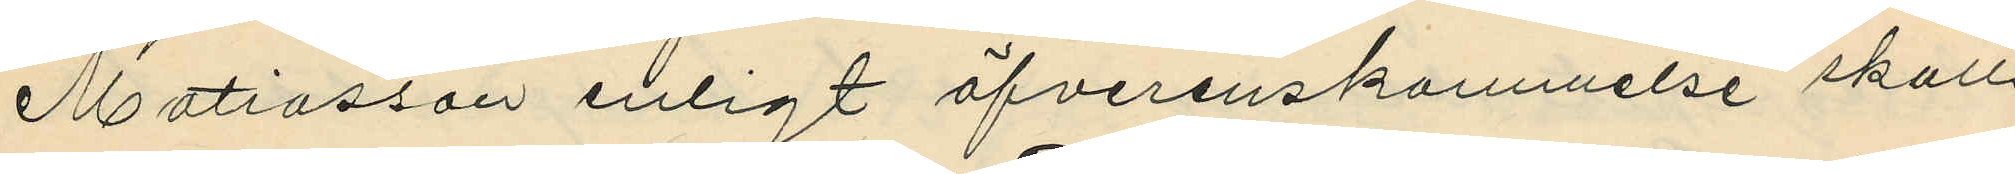Matiasson enligt öfverenskommelse skulle
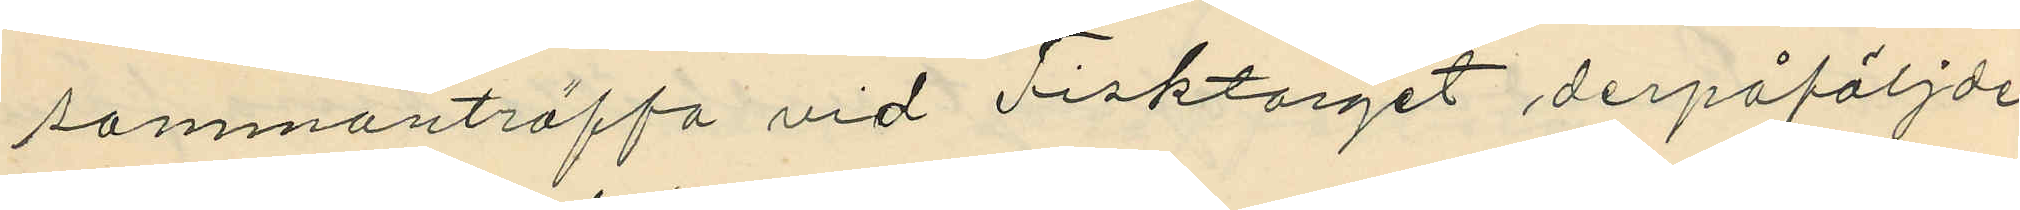sammanträffa vid Fisktorget derpåföljde
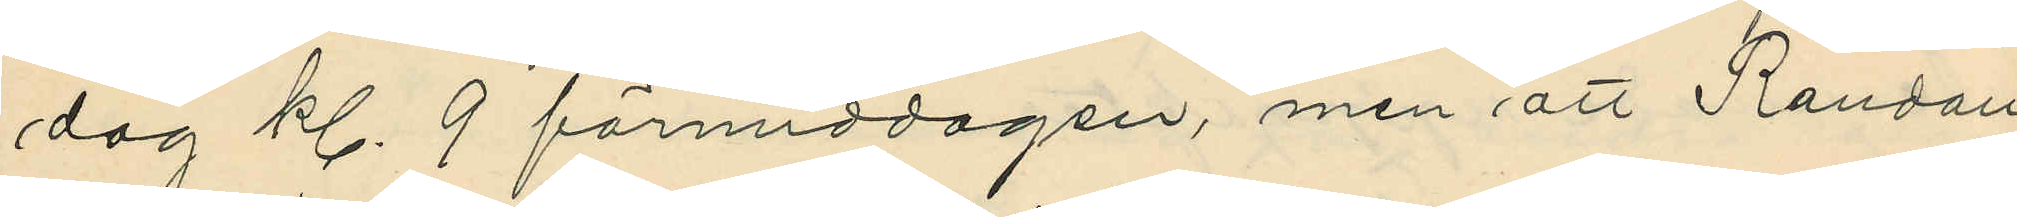dag kl. 9 förmiddagen, men att Randau
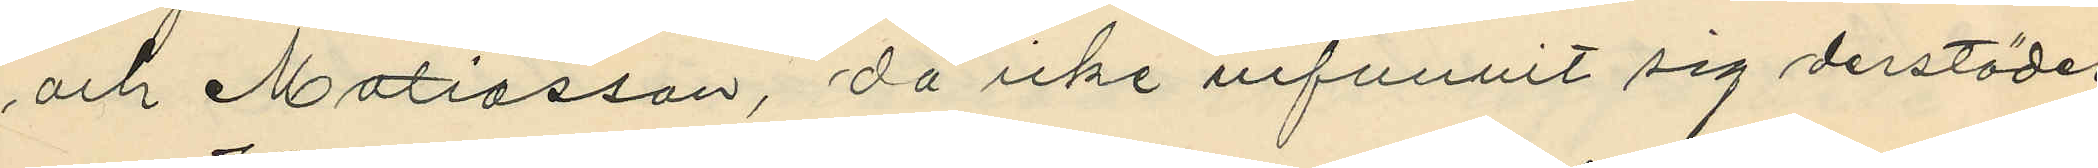och Matiasson, då icke infunnit sig derstädes;
